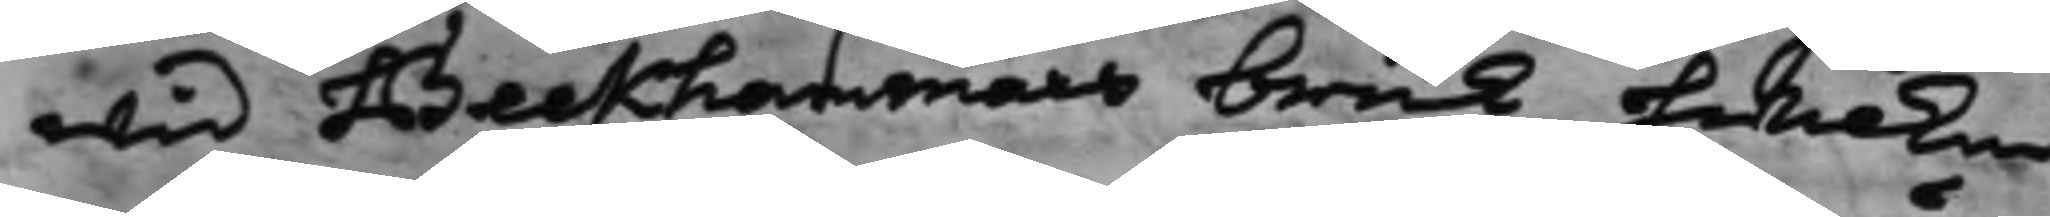wid Beckhammars bruk, hwilken
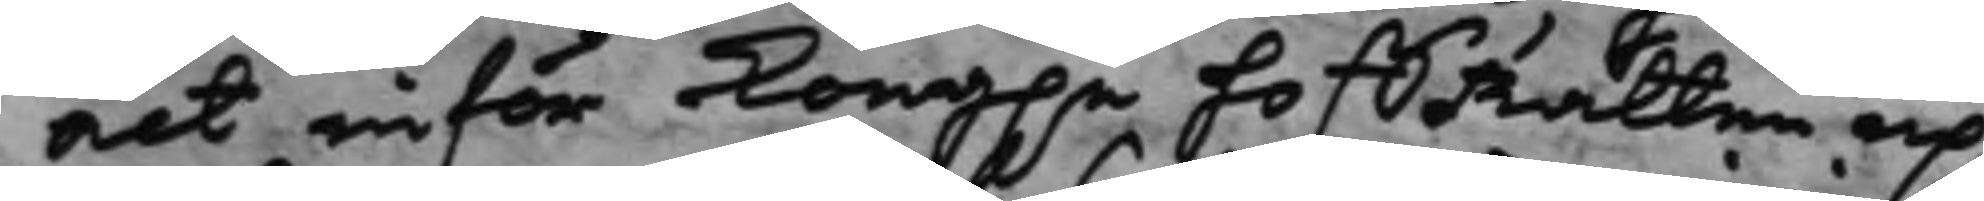act inför Kong.e hoffRätten up¬
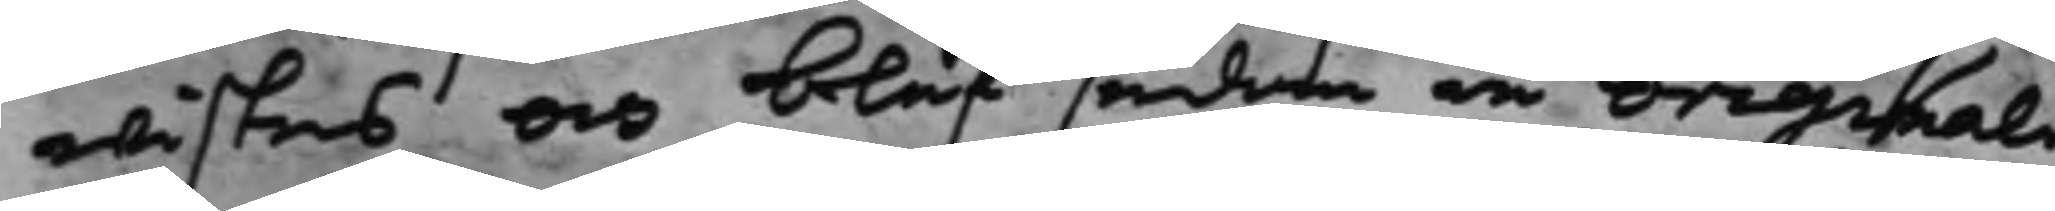wistes och blef sedan in originali
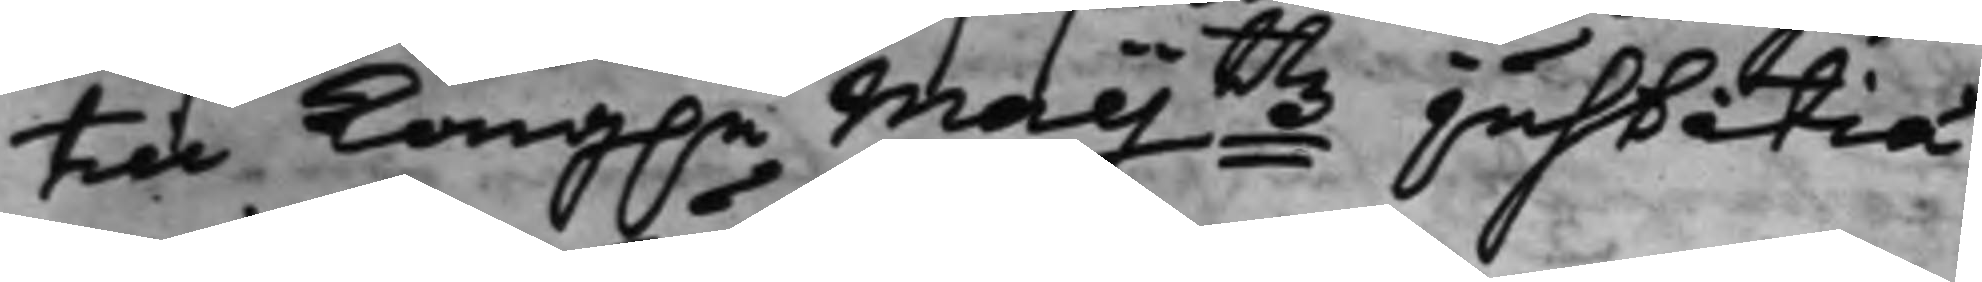till Kong.e Maijttz justitiæ
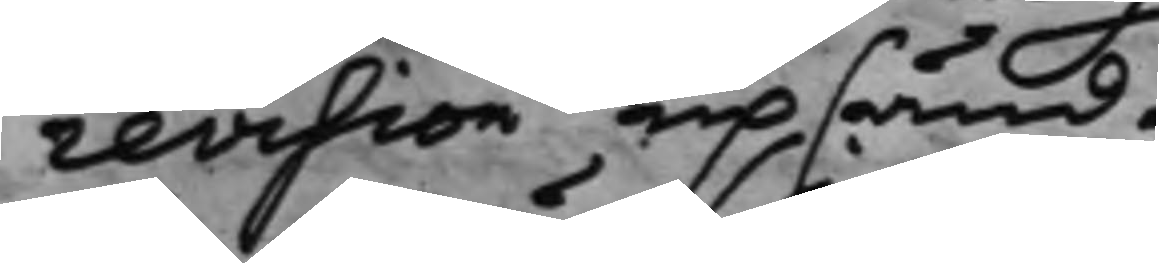revision upsänd.
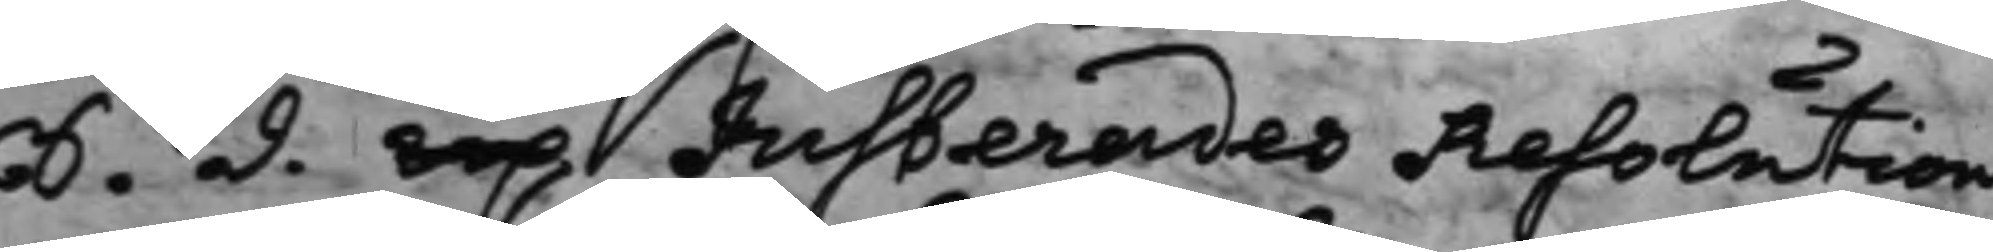S. d. Up Justerades Resolution
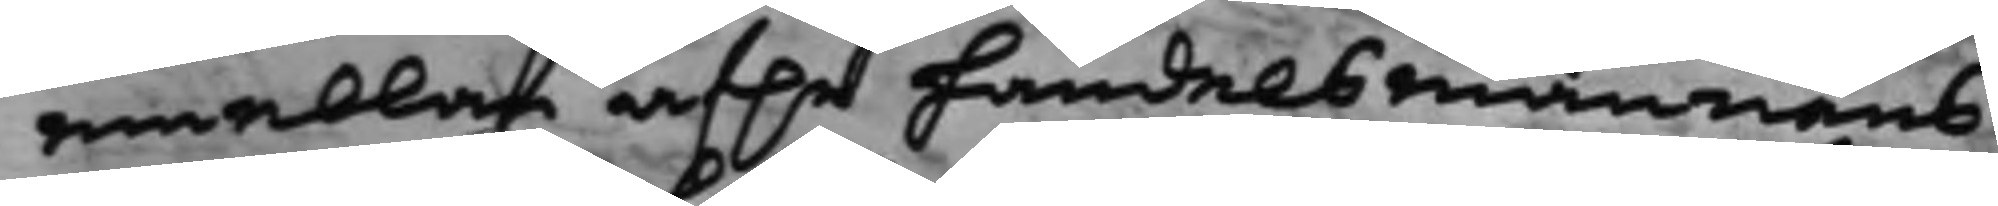emellan af.e handelsmannens
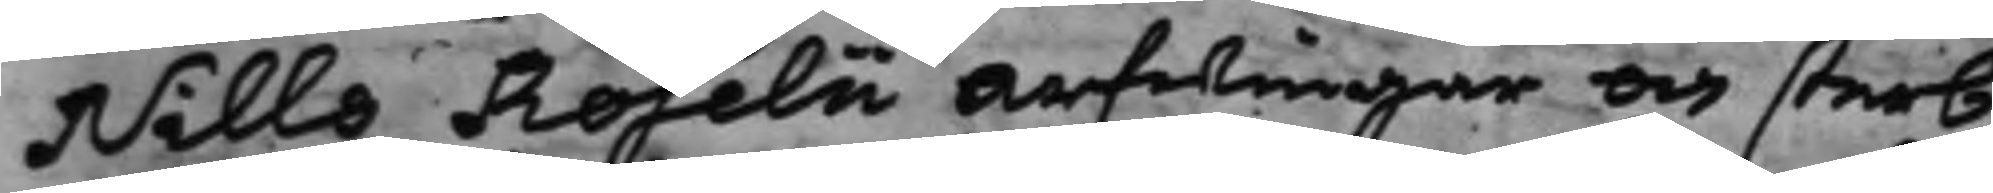Nills Roselii Arfwingar och sterb¬
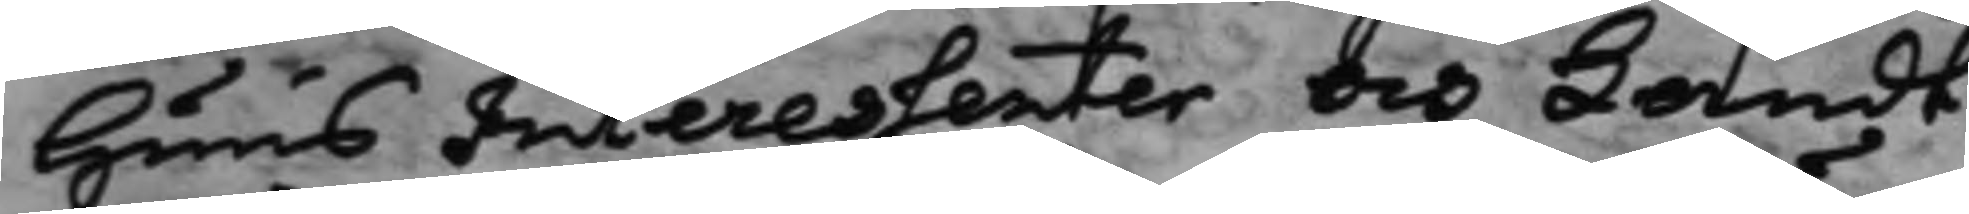huus Interessenter och Landt¬
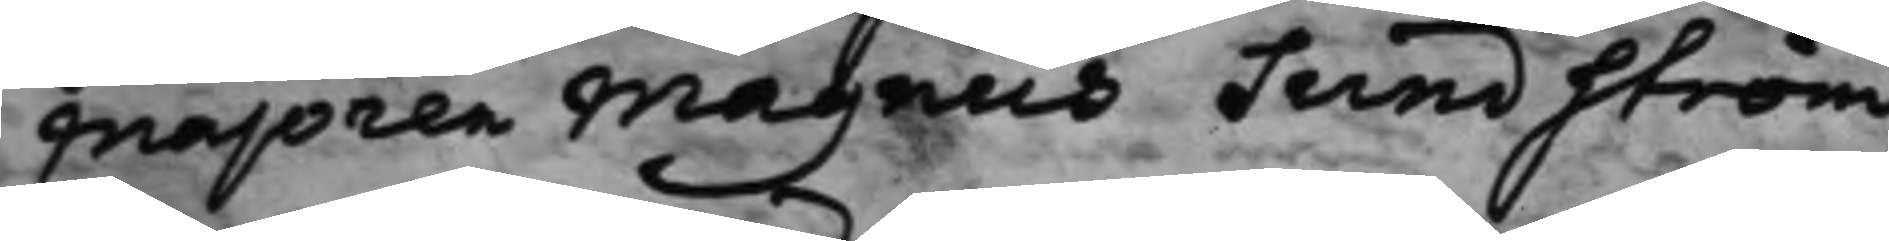Majoren Magnus Sundström,
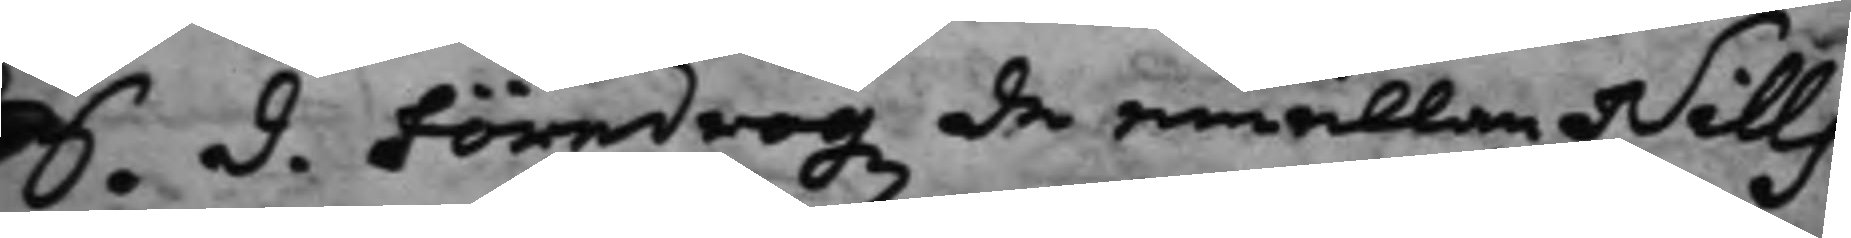S. d. Föredrogz de emellan Nills
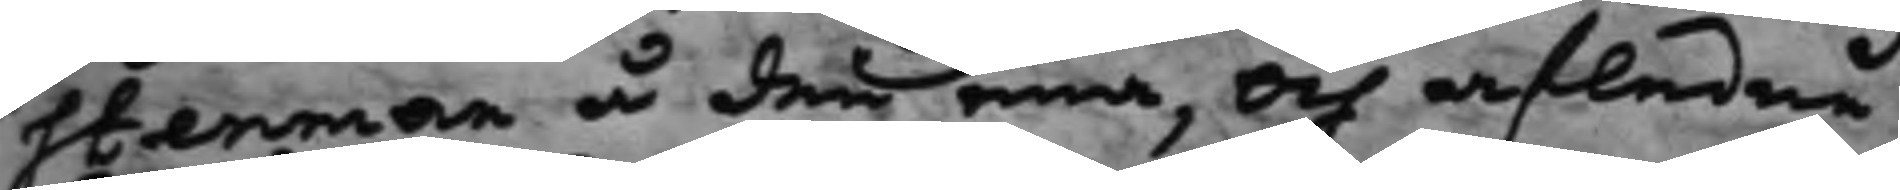Stenman å den ena, och afledne
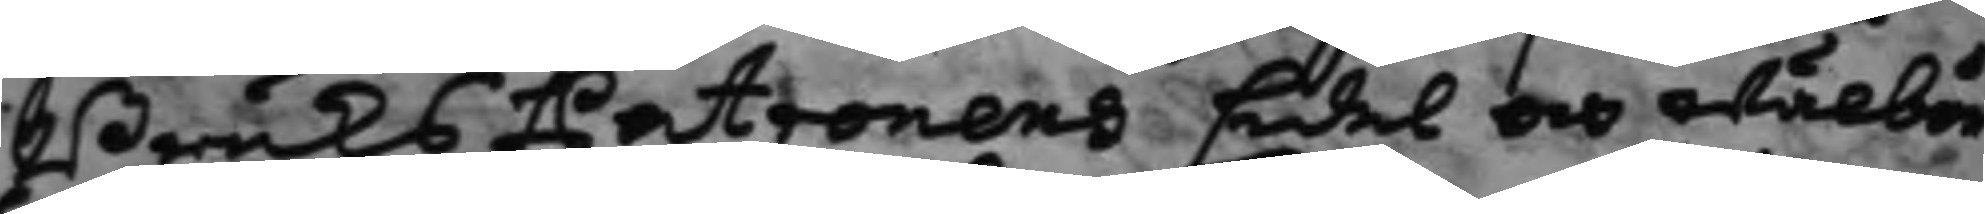BruksPatronens Edel och wälbör¬
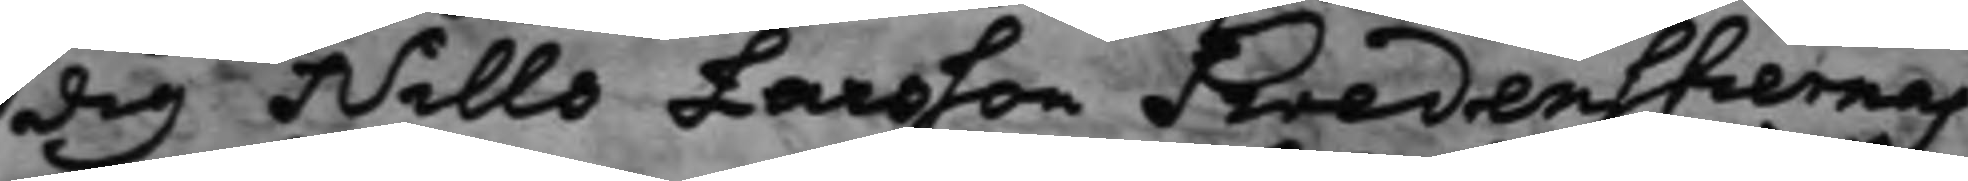dig Nills Larsson Swedenstiernas
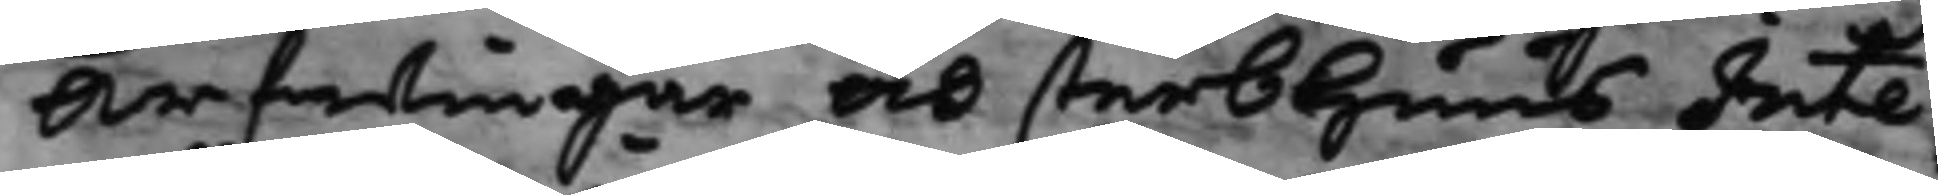Arfwingar och sterbhuus Inte¬
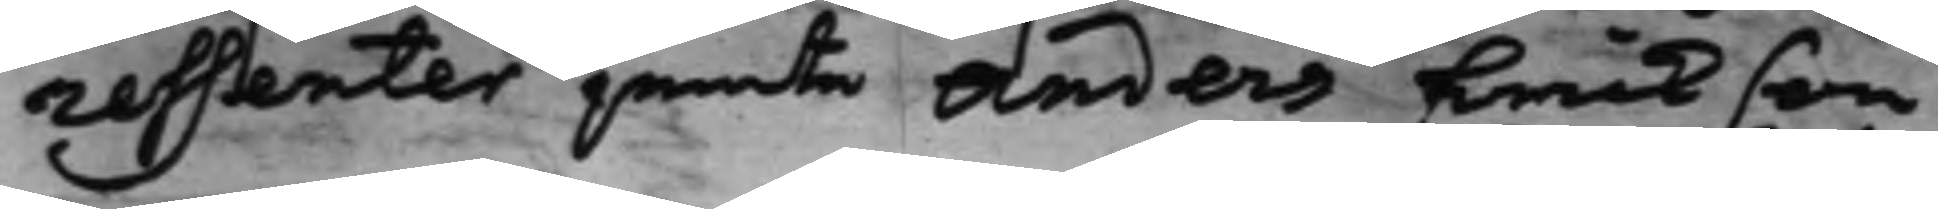ressenter jemte Anders Erickson
